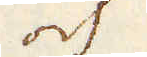och
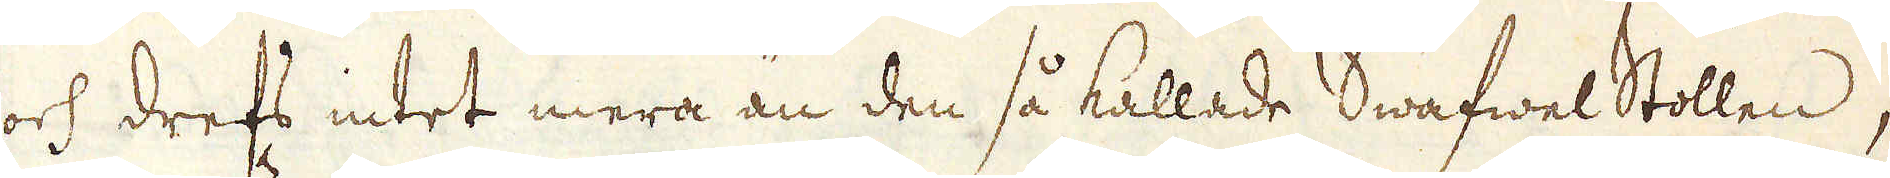och drefs intet mera än den så kallade Swafwel Stollen,
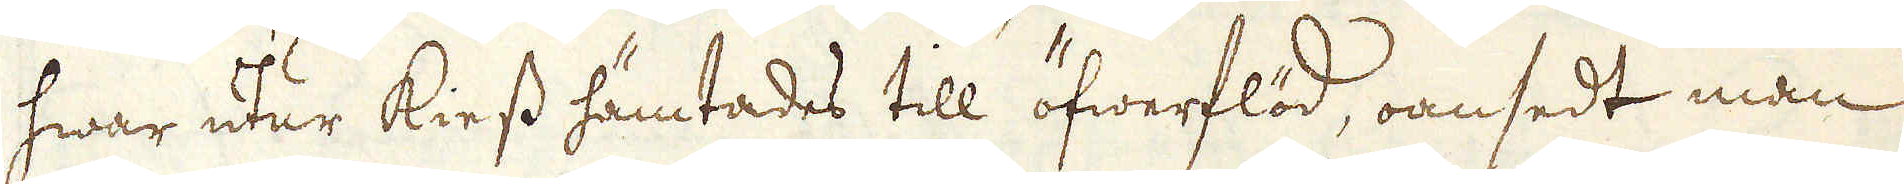hwar utur kiess hämtades till öfwerflöd, oansedt man
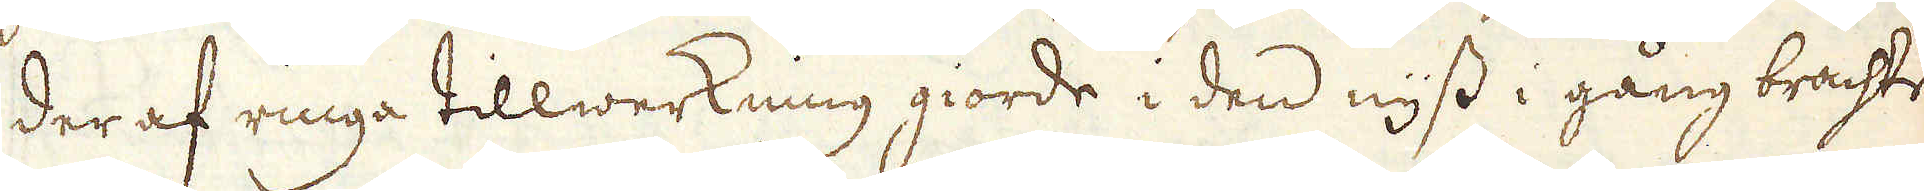der af ringa tillwerkning giorde i den nyss i gång brachte
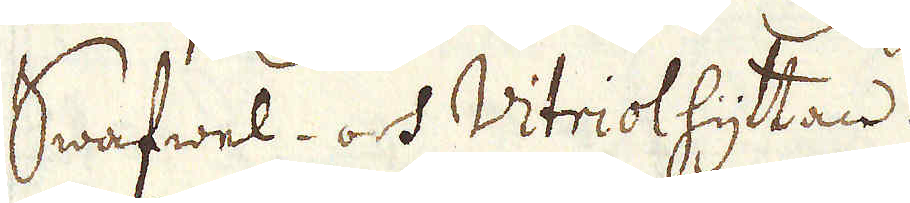Swafwel- och Vitriolhyttan.
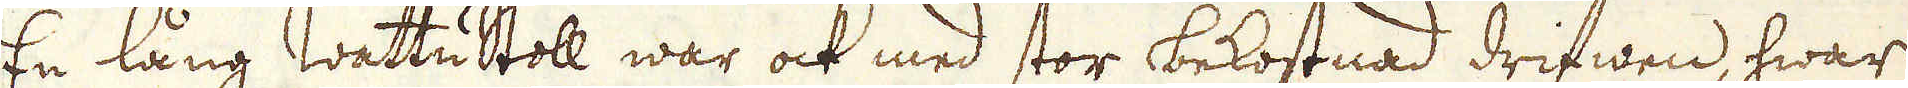En lång Wattustoll war ock med stor bekostnad drifwen, hwar
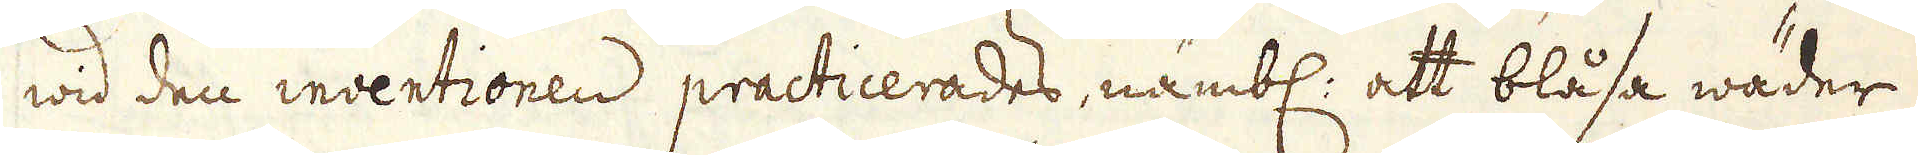wid den inventionen practicerades, nämbl: att blåsa wäder
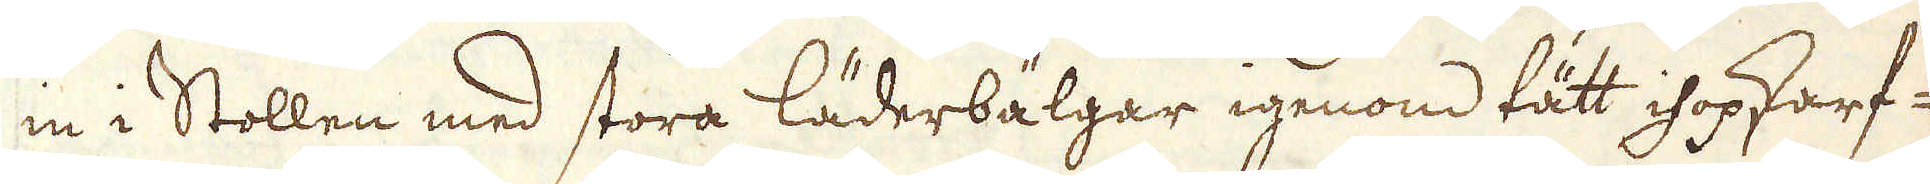in i Stollen med stora läderbälgar igenom tätt ihopkarf-
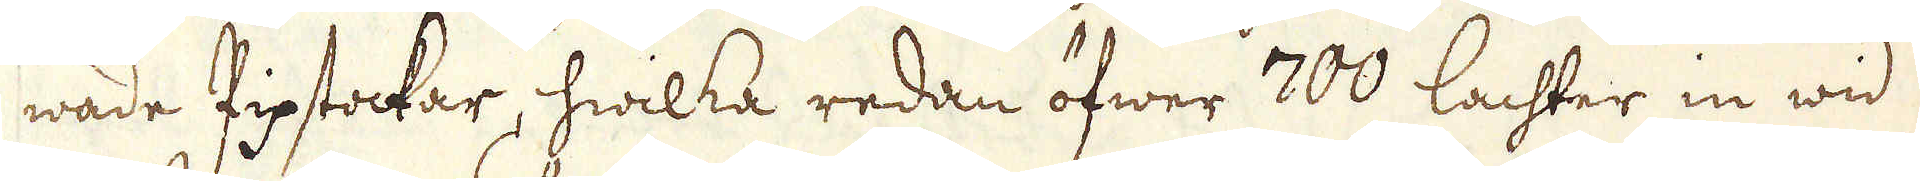wade Pipstockar, hwilka redan öfwer 700 lachter in wid
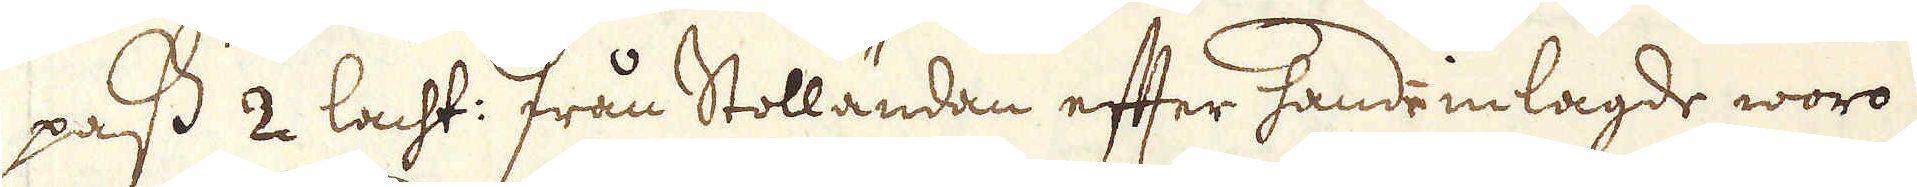pass 2 lacht: från Stolländan efter hand inlagde woro
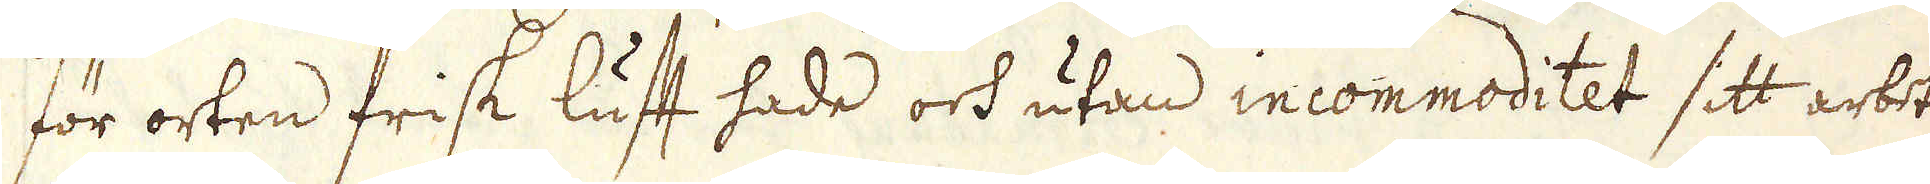för orten frisk luft hade och utan incommoditet sitt arbete
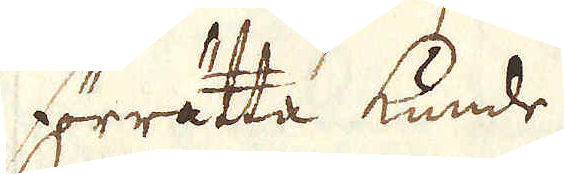förrätta kunde.
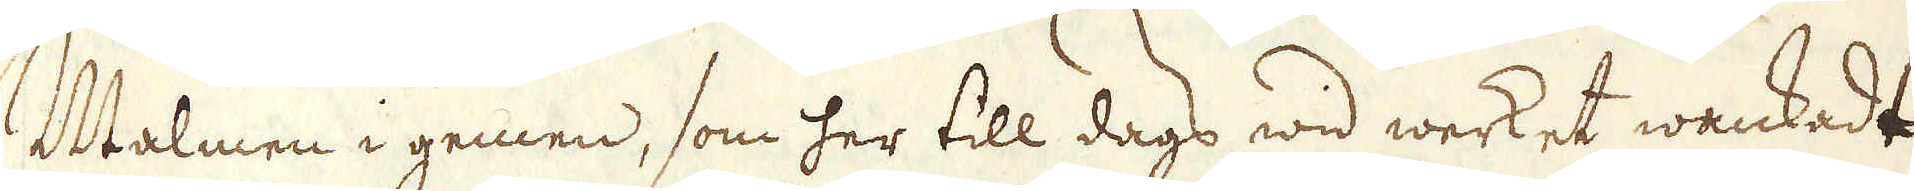Malmen i gemen, som her till dags wid werket wankadt,
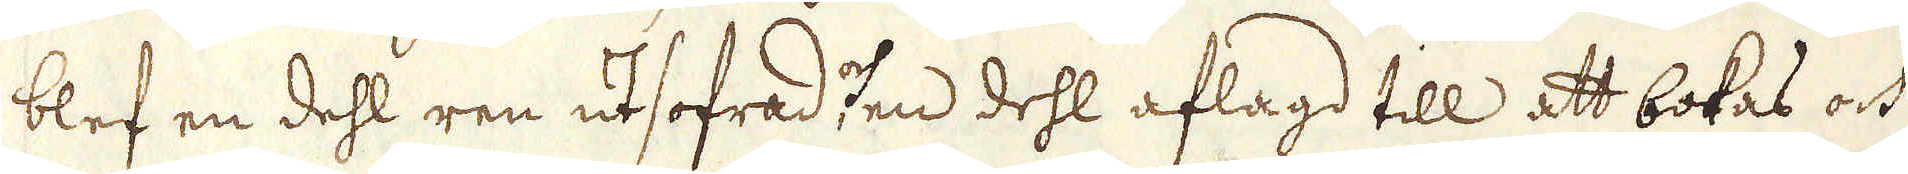blef en dehl ren utsofrad, och en dehl aflagd till att bokas och
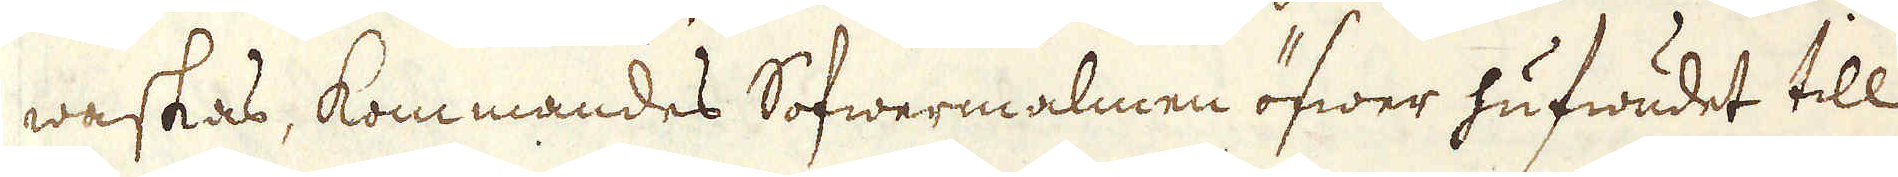waskas, kommandes Sofwermalmen öfwer hufwudet till
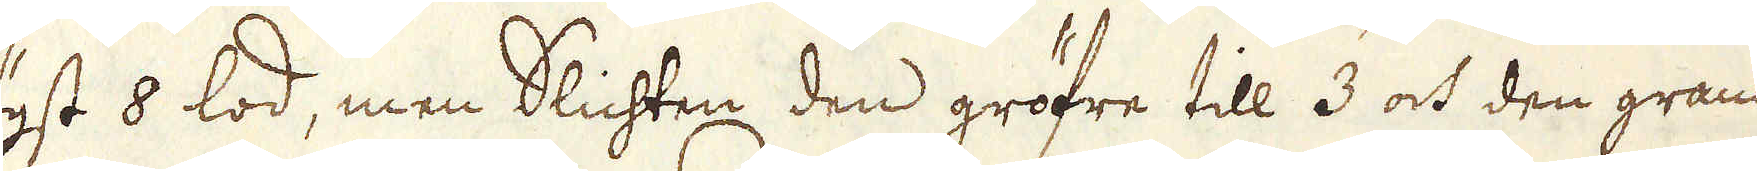5 högst 8 lod, men Slichten den gröfre till 3 och den granna-
